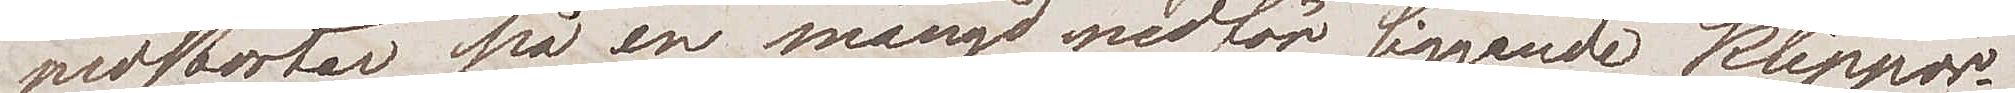nedstörtar på en mängd nedför liggande klippor
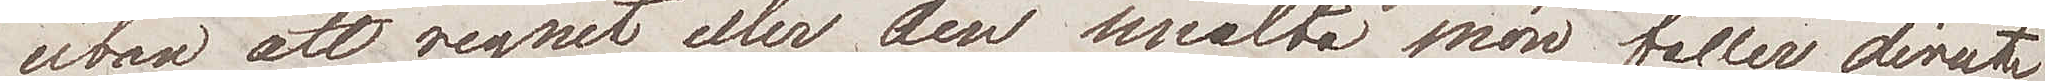utan att regnet eller den smälta snön faller direkt
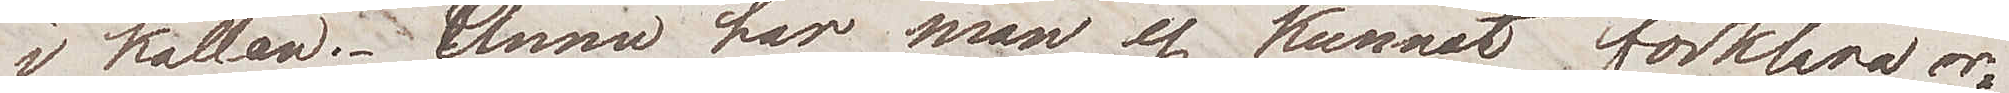i källan. Ännu har man ej kunnat förklara or¬
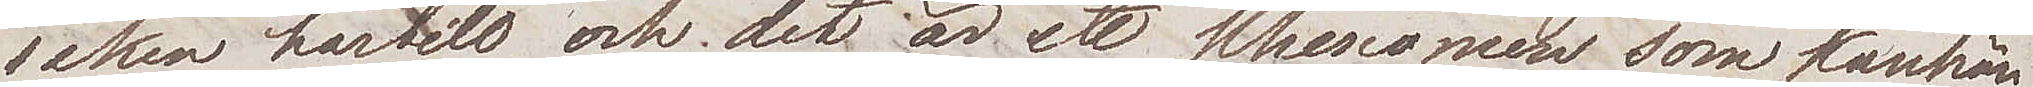saken härtill, och det är ett phenomen som kanhän¬
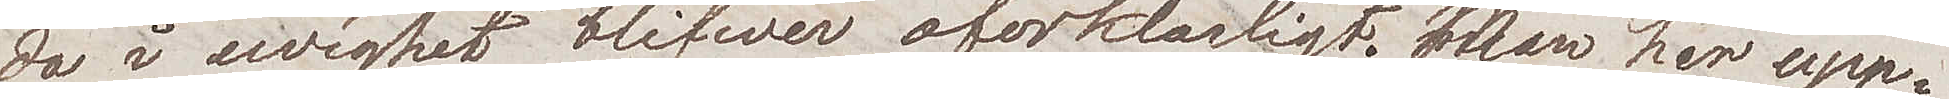da i ewighet blifwer oförklarligt. Man har upp¬
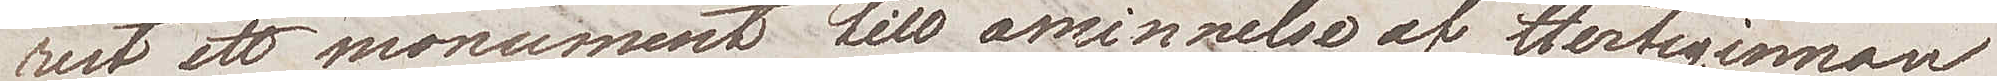rest ett monument till åminnelse af Hertiginnan
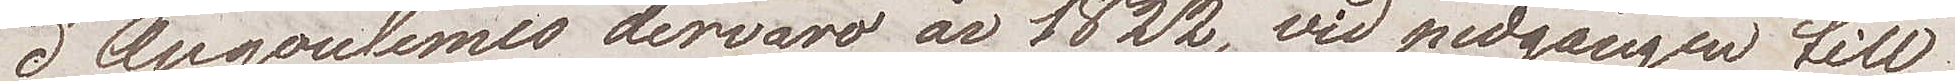d'Angoulemes dervaro år 1822 vid nedgången till
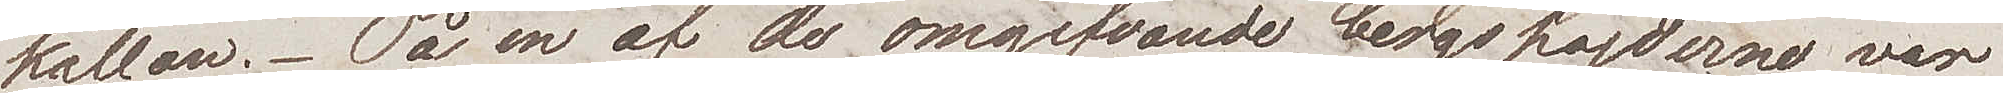källan. På en af de omgifvande bergshöjderna var
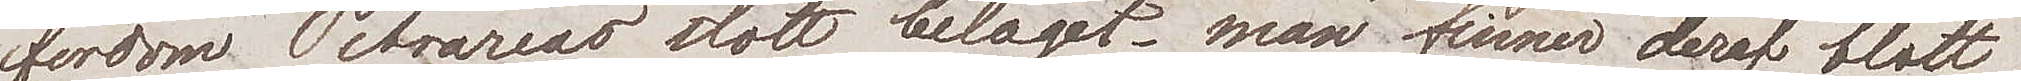fordom Petrarcas slott beleget; man finner deraf blott
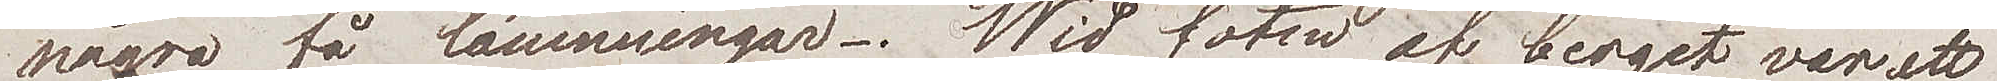några få lämningar. Wid foten af berget var ett
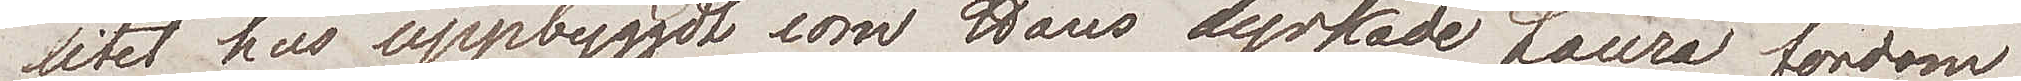litet hus uppbyggdt som hans dyrkade Laura fordom
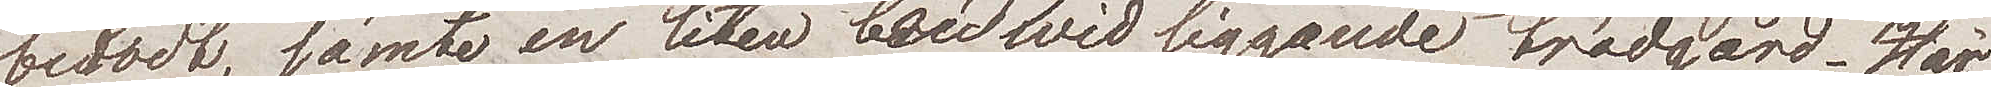bebodt, jämte en liten bredwid liggande trädgård. Här
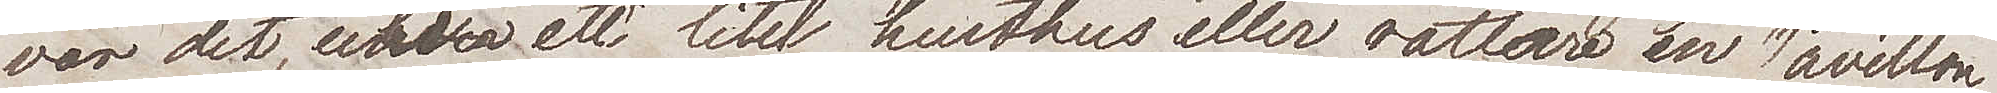var det uti ett litet lusthus eller rättare en Pavillon
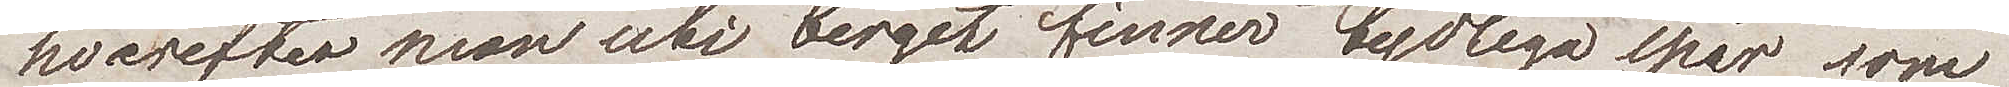hvarefter man uti berget finner tydliga spår, som
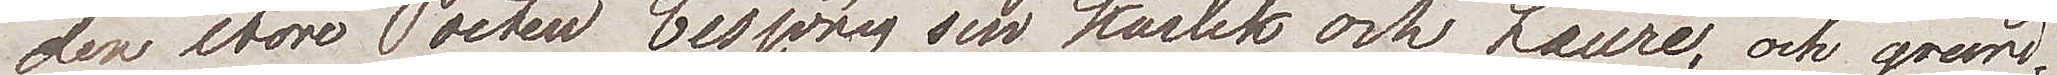den store Poeten besjöng sin kärlek och Laura, och grund¬
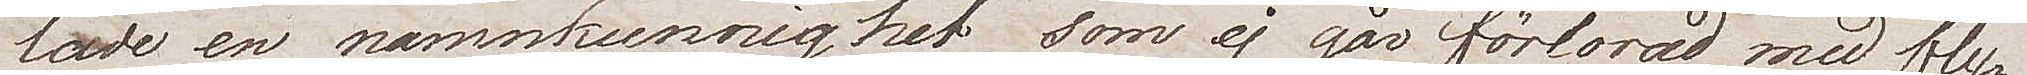lade en namnkunnighet som ej går förlorad med fly¬
